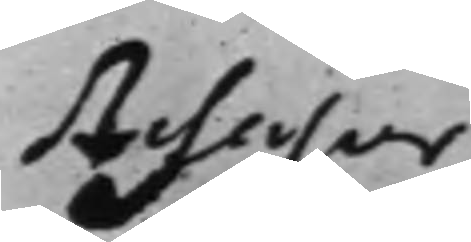Assessor
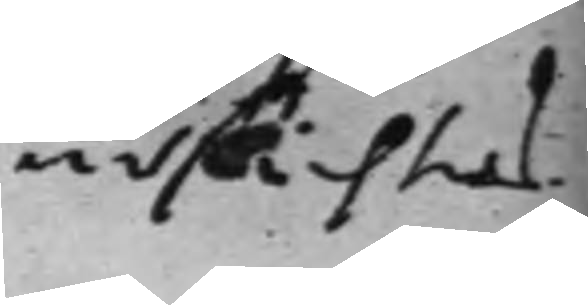ursächtas.
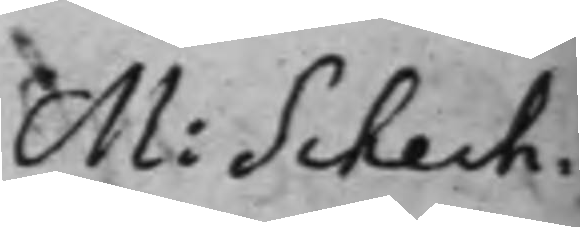M: Schech¬
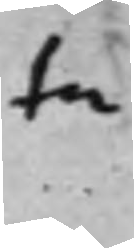ta
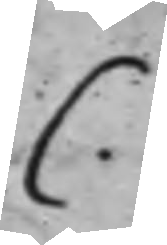C.
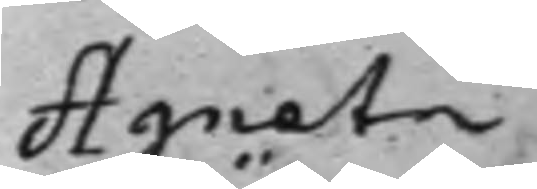Agneta
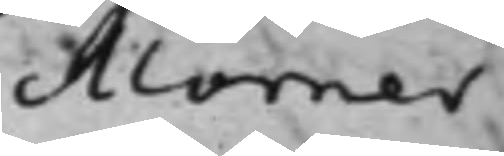Mörner
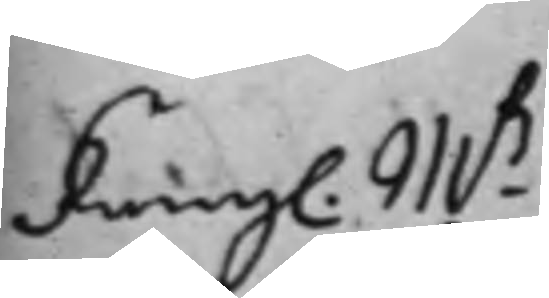Kongl. Mß.
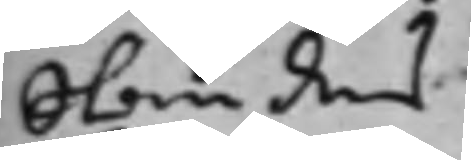Ständers
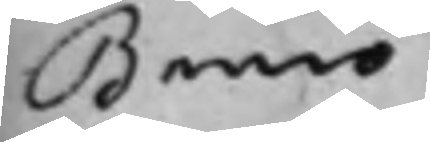Banco
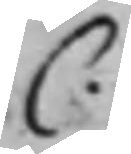C.
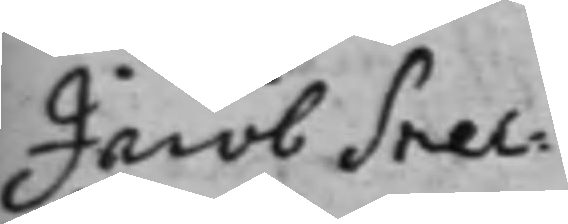Jacob Snec¬
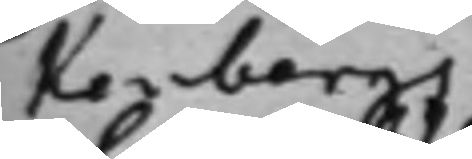kenbergs,
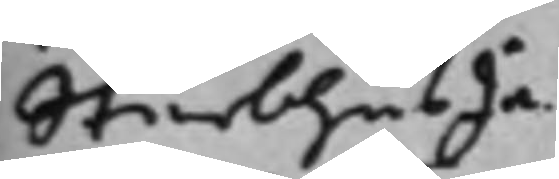Sterbhus In¬
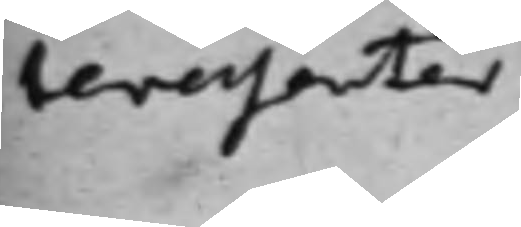teressenter
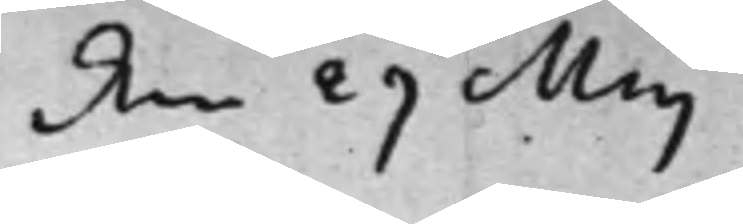den 29 Maj
